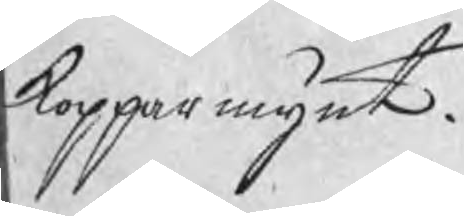kopparmynt.
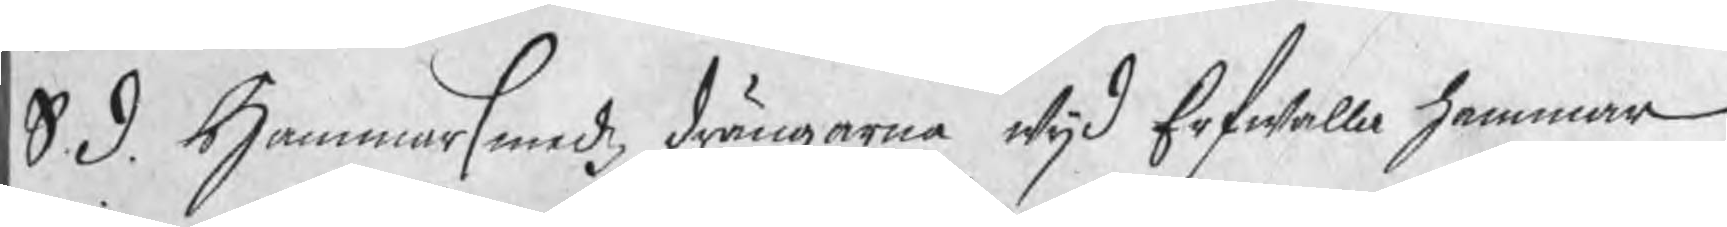S. d. Hammarsmedzdrängarne wijd Erfwalla hammar
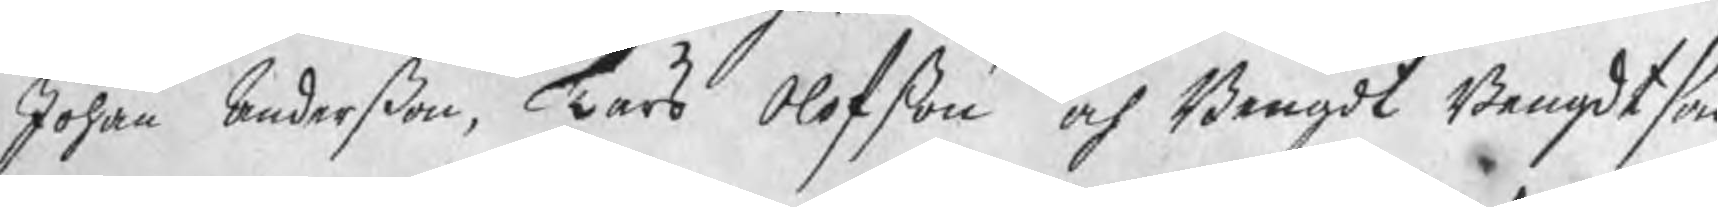Johan Anderßon, Lars Olofßon och Bengdt Bengdtson
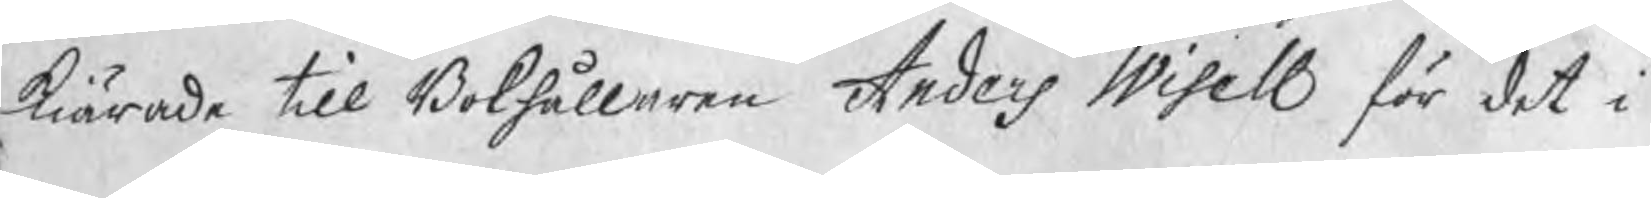kiärade till Bokhållaren Anders Wisell för det i
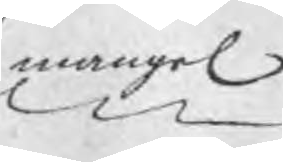mangel
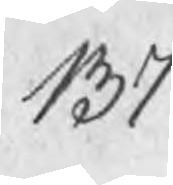137
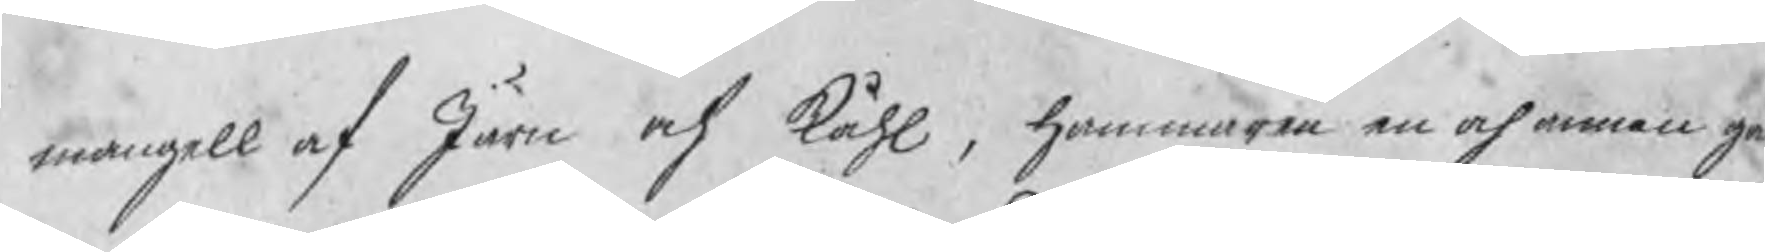magnell af Järn och Kåhl, hammaren en och annan gå
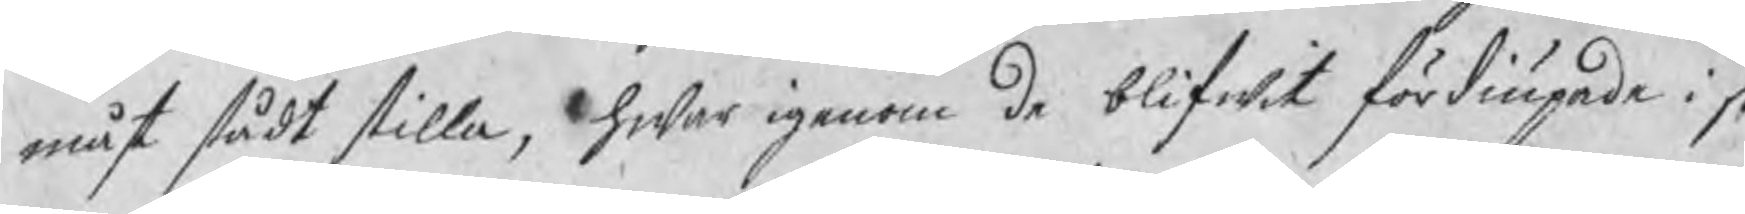måst stådt stilla, hwar igenom de blifwit fördiupade i s
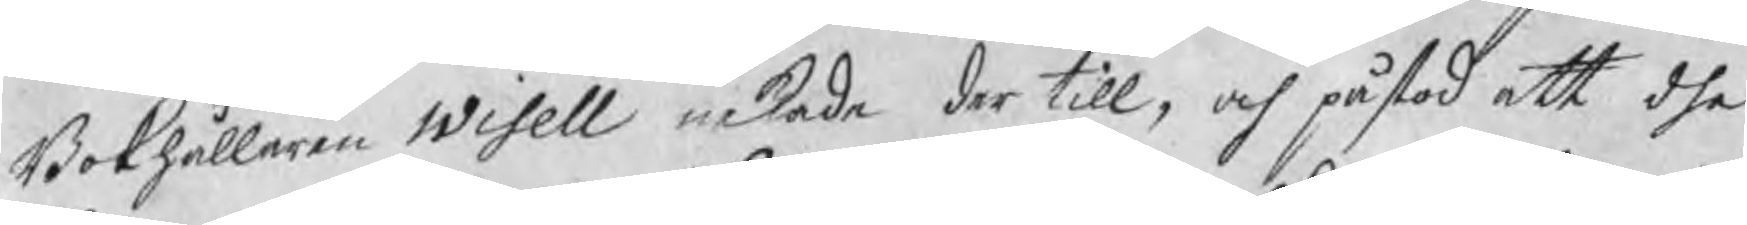Bokhållaren Wisell nekade der till, och påstod att dhe
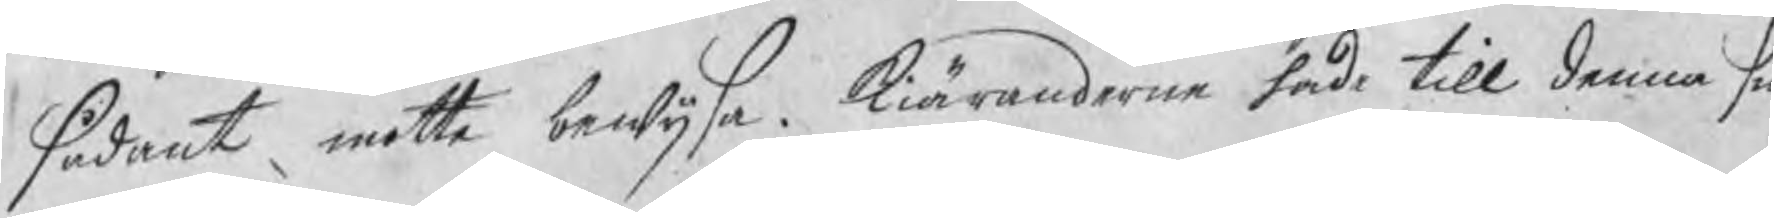sådant motte bewijsa. Kiäranderne hade till denna s
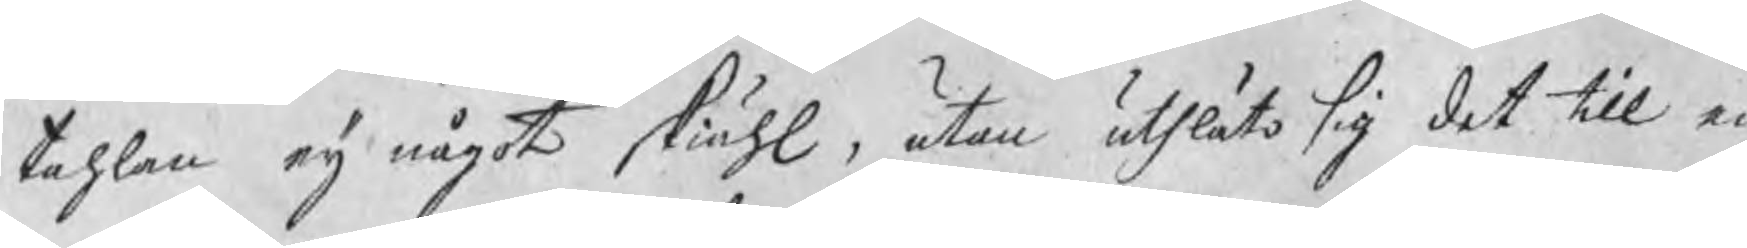tahlan eij något skiähl, utan utläto sig det till en
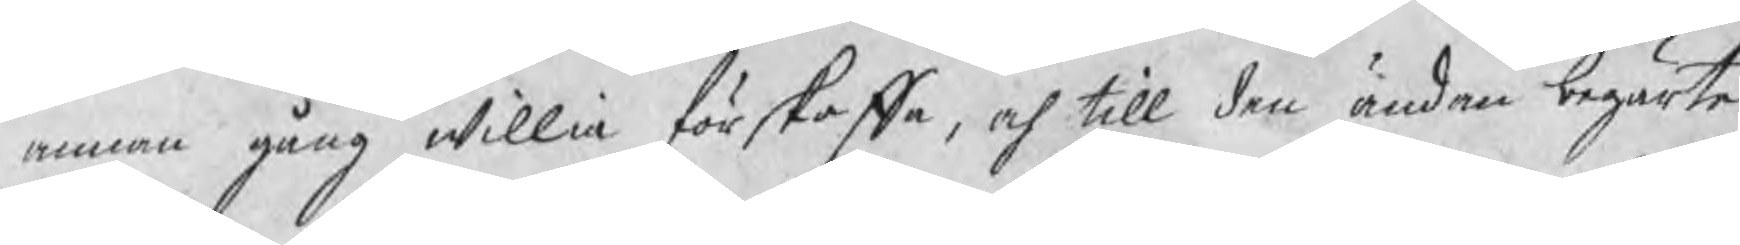annan gång willia förskaffa, och till den ändan begärte
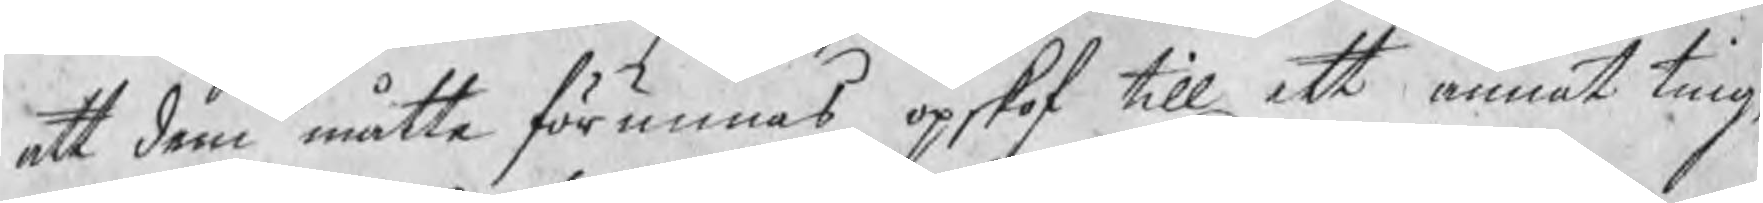att dem måtte förunnas opskof till ett annat ting,
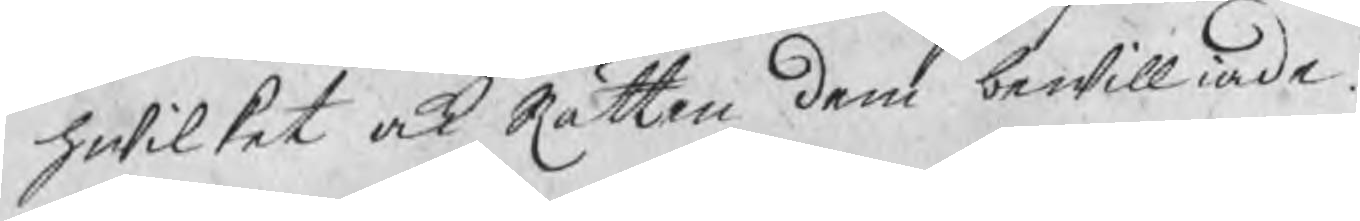hwilket ock Rätten dem bewilliade.
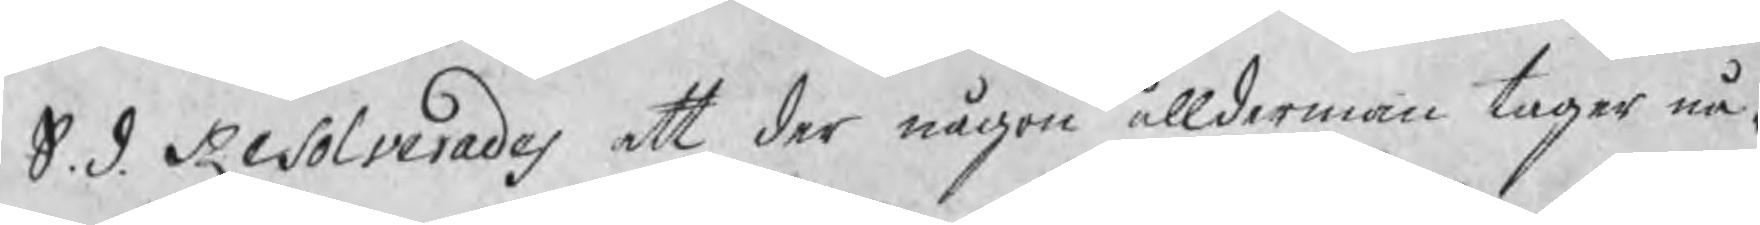S. d. Resolverades att der någon ållderman tager nå¬
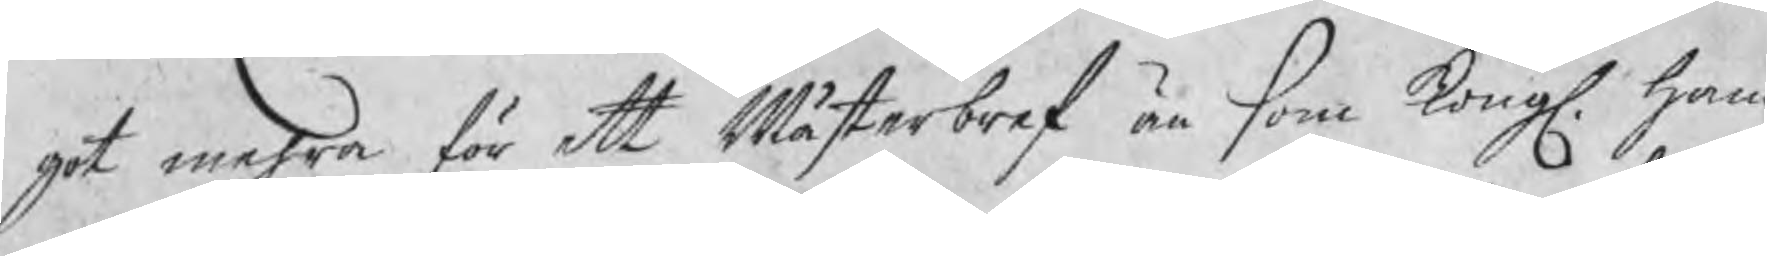got mehra för ett Mästerbref än som Kongl. Ham¬
